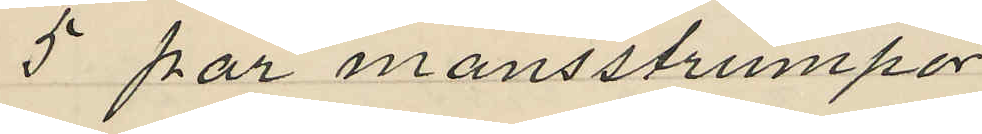5 par mansstrumpor
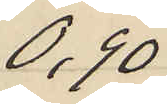0,90
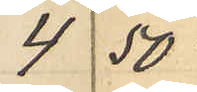4 50
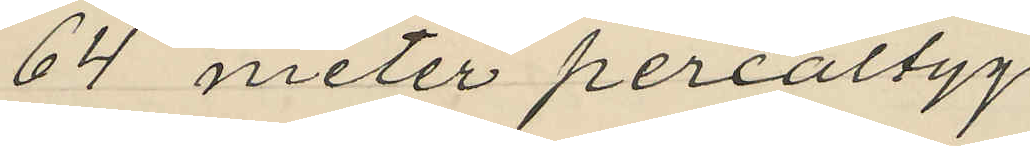64 meter percaltyg
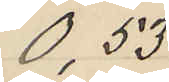0,53
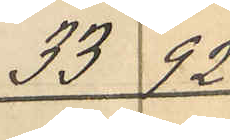33 92
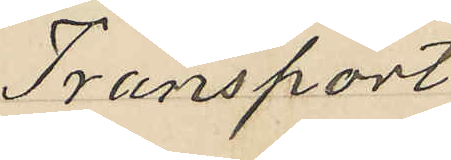Transport
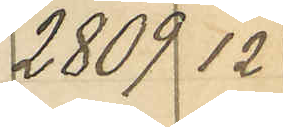2809 12
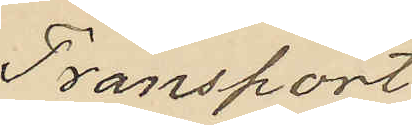Transport
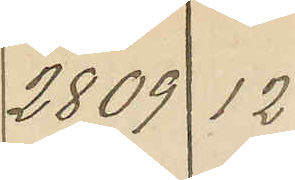2809 12
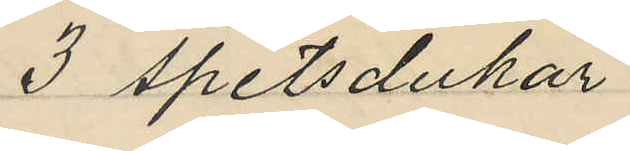3 Spetsdukar
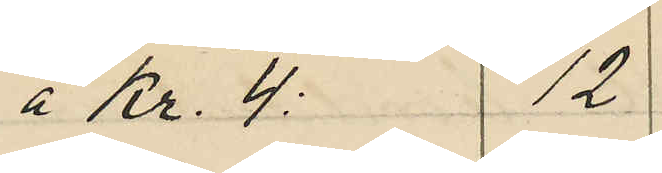á Kr. 4: 12
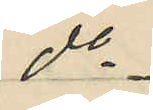do
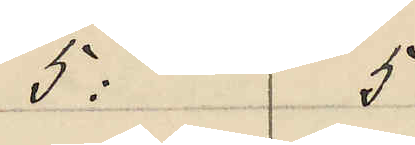5: 5
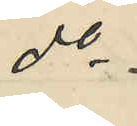do
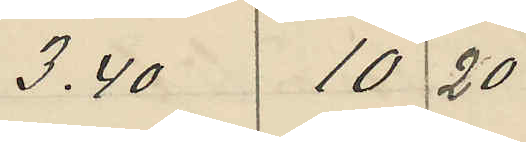3,40 10 20
